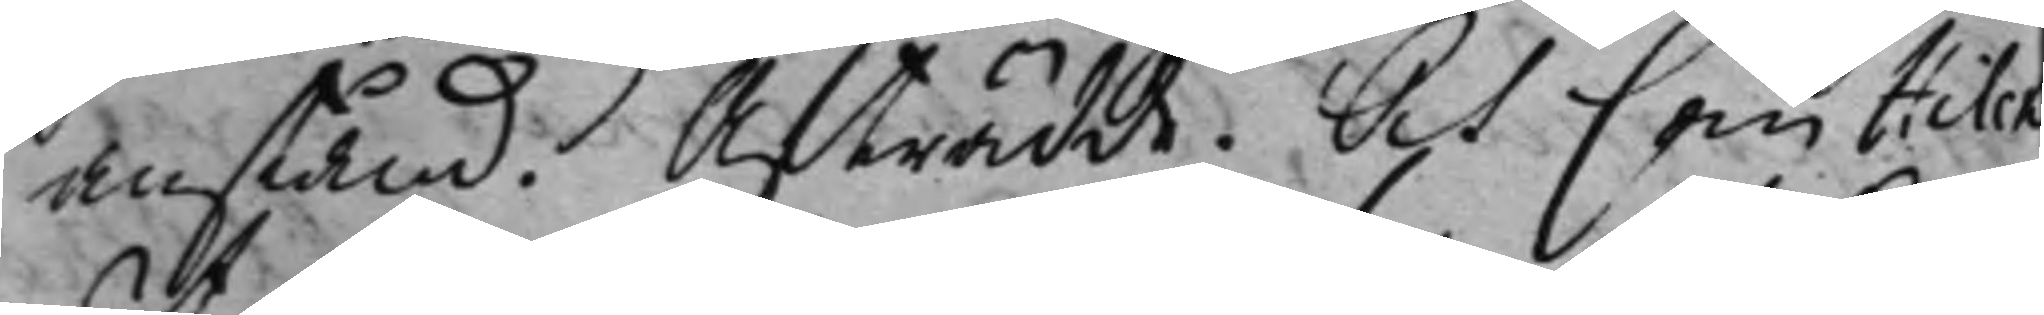anstånd. Afträdde. Och som Hilck
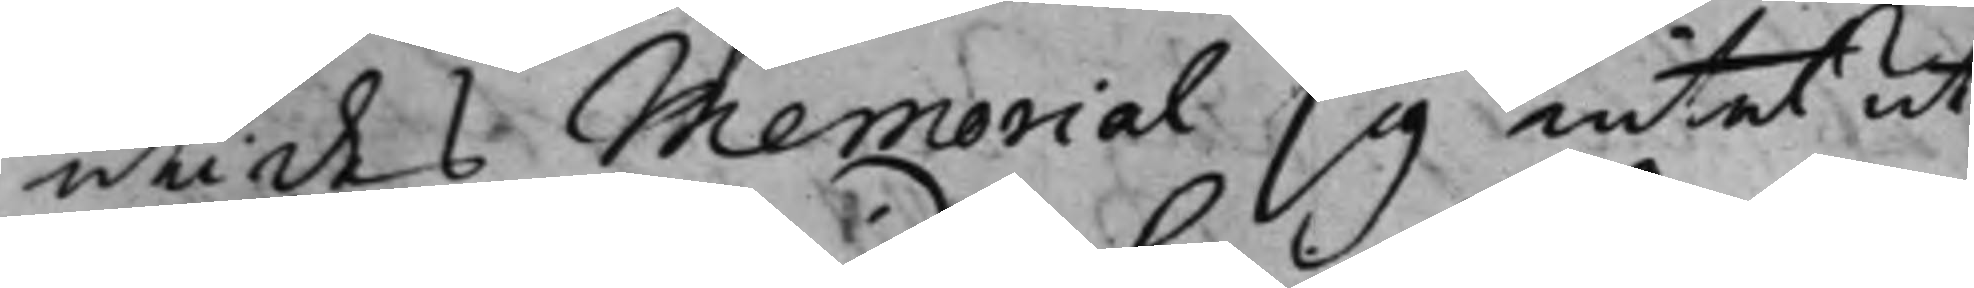uti des Memorial sig intet ut¬
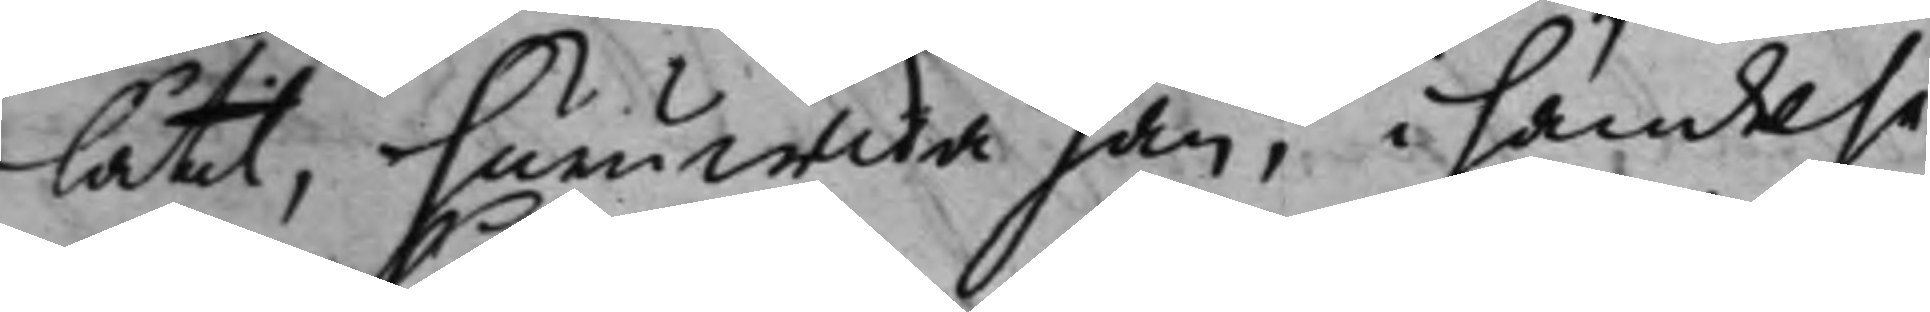låtit, huruwida han, i händelse
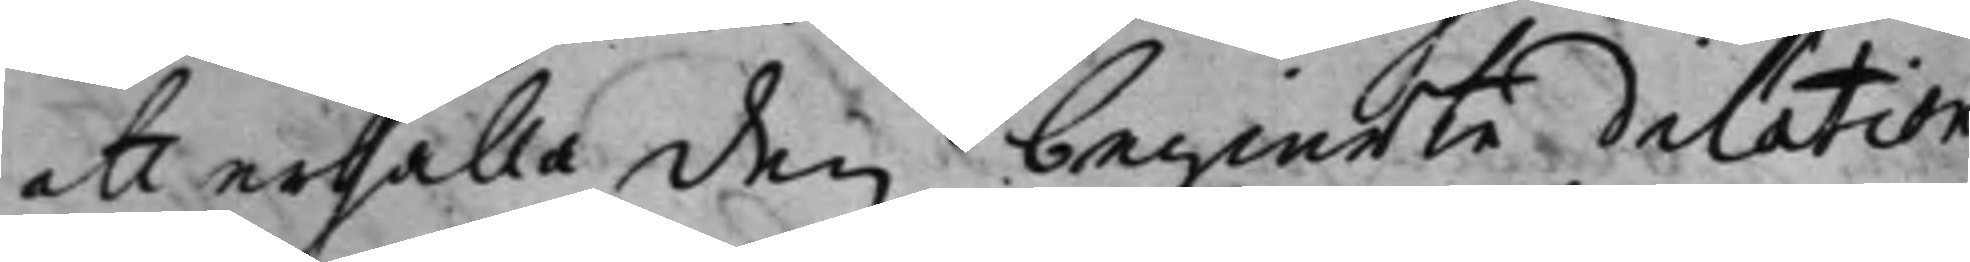att erhålla den begierte dilation
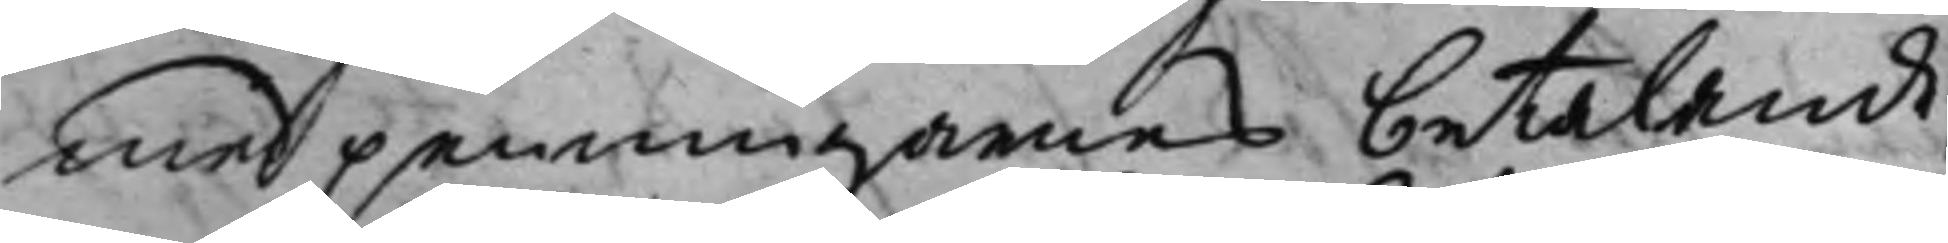med penningarnes betalande,
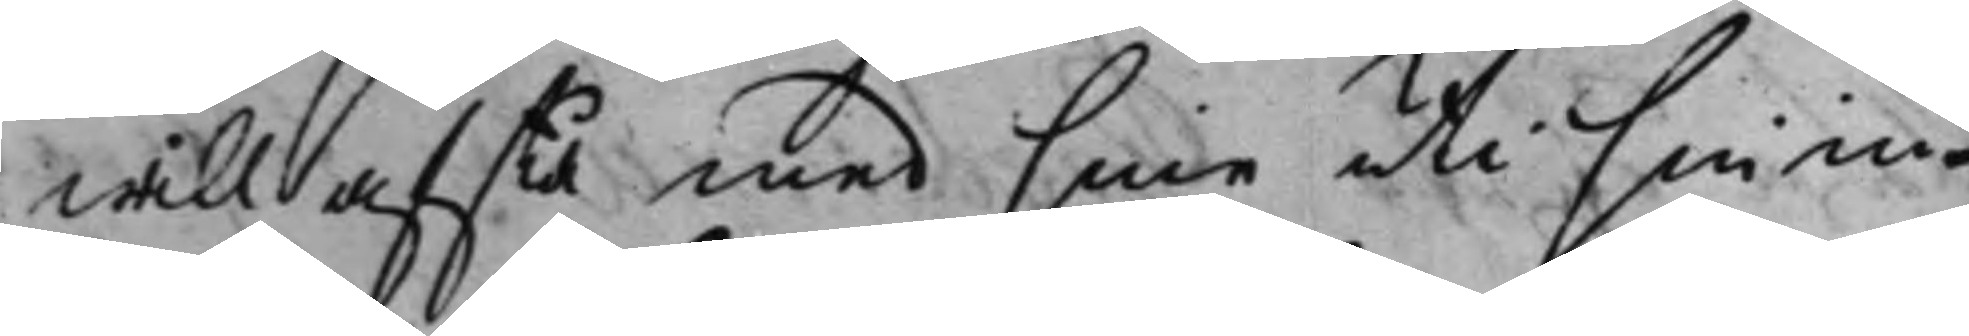will afstå med sine uti sin in¬
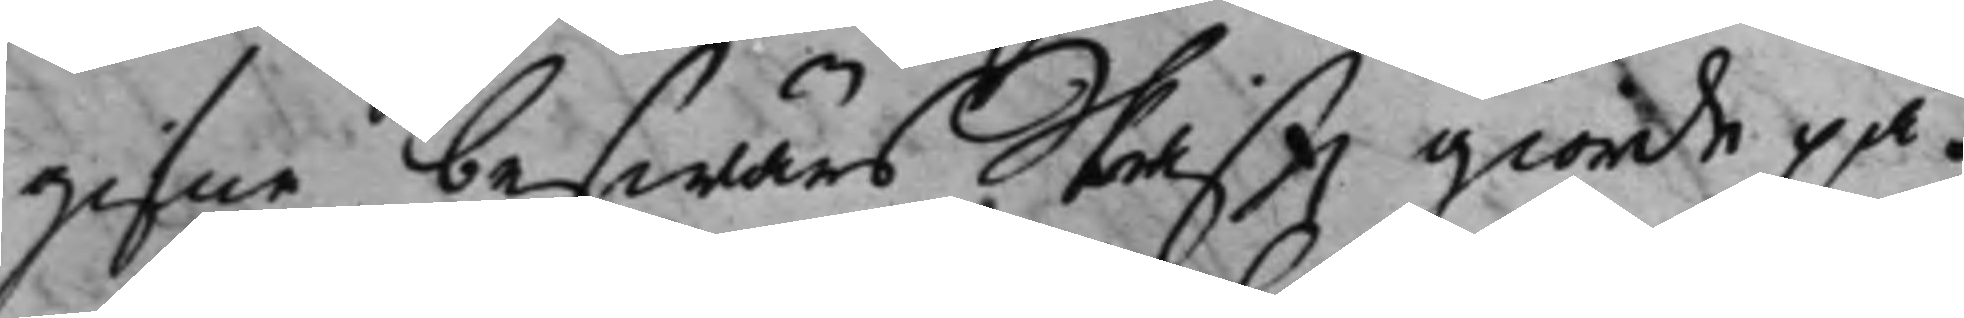gifne beswärs Skriftz giorde på¬
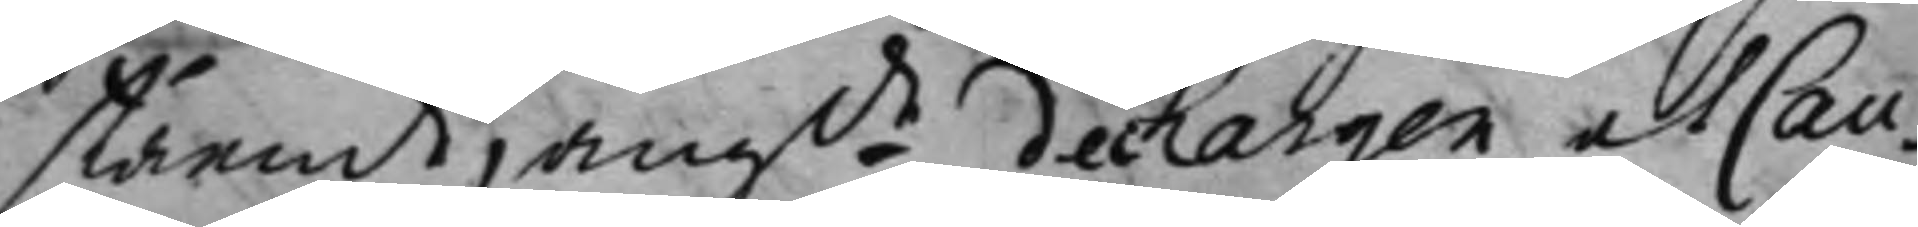stående, angde dechargen at Cau¬
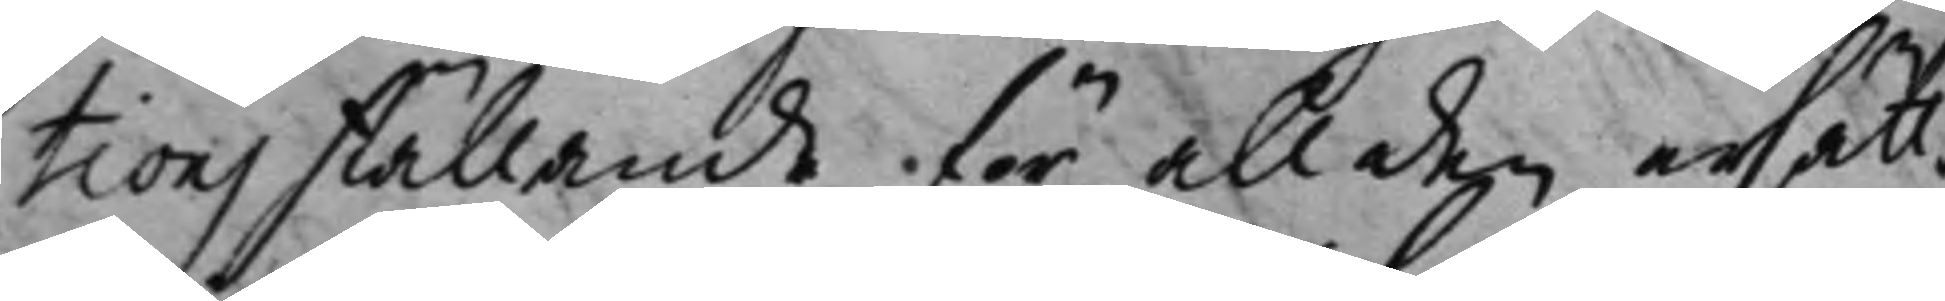tions ställande för all den ersätt¬
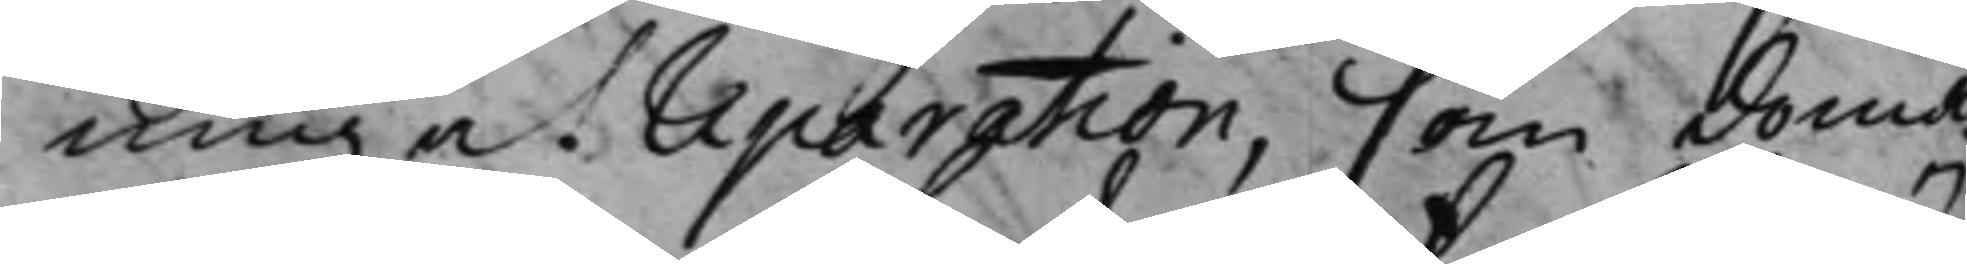ning at reparation, som Doma¬
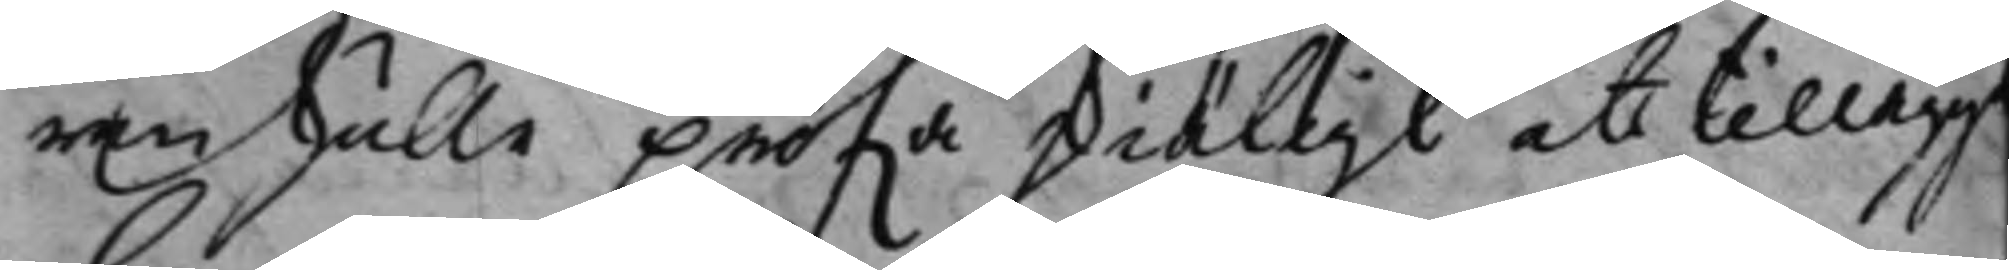ren skulle pröfwa skiäligt at tillägg
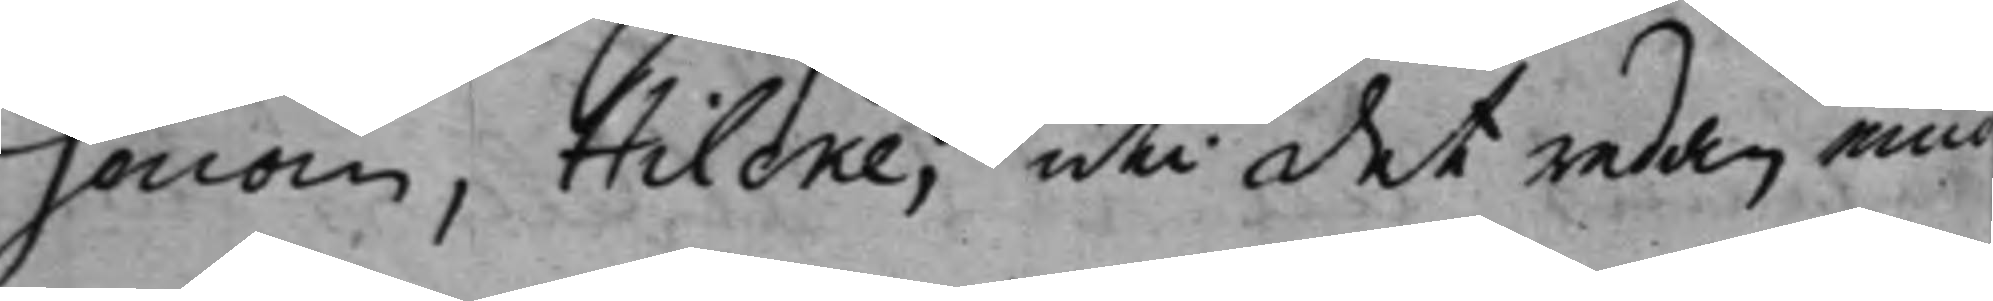honom, Hilcke, uti det redan med
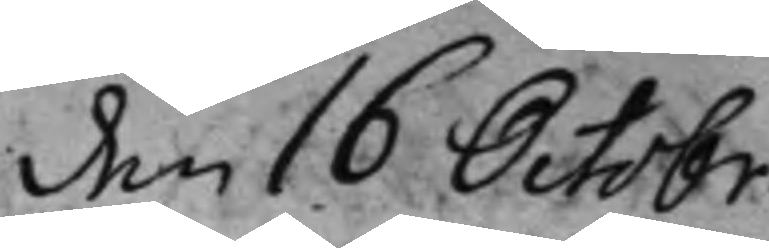den 16 Octobr.
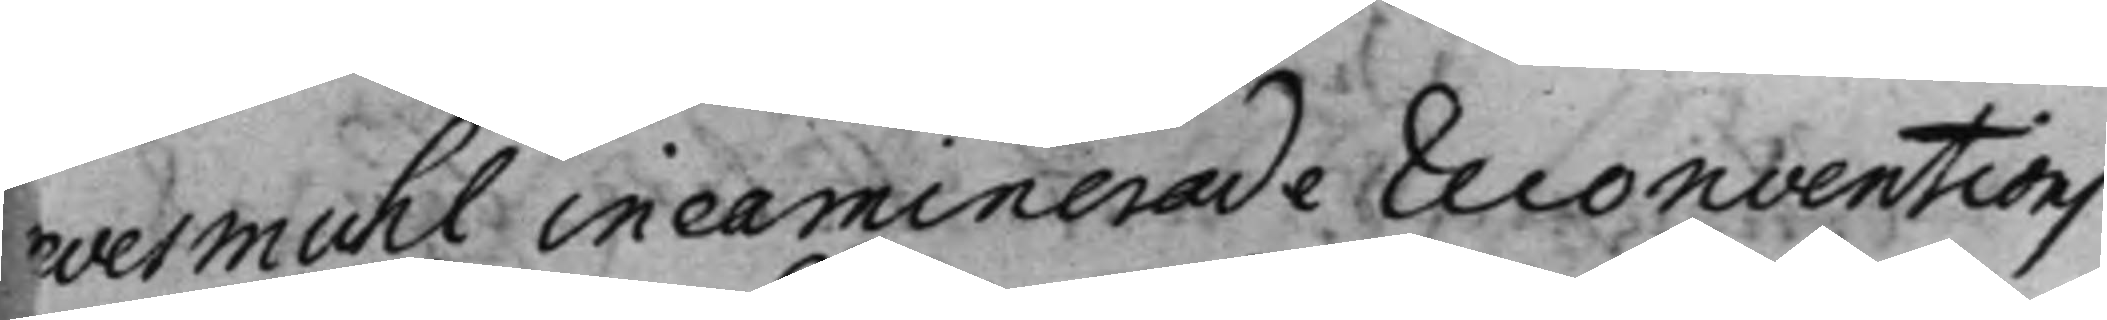evesmuhl incaminerade Reconventions
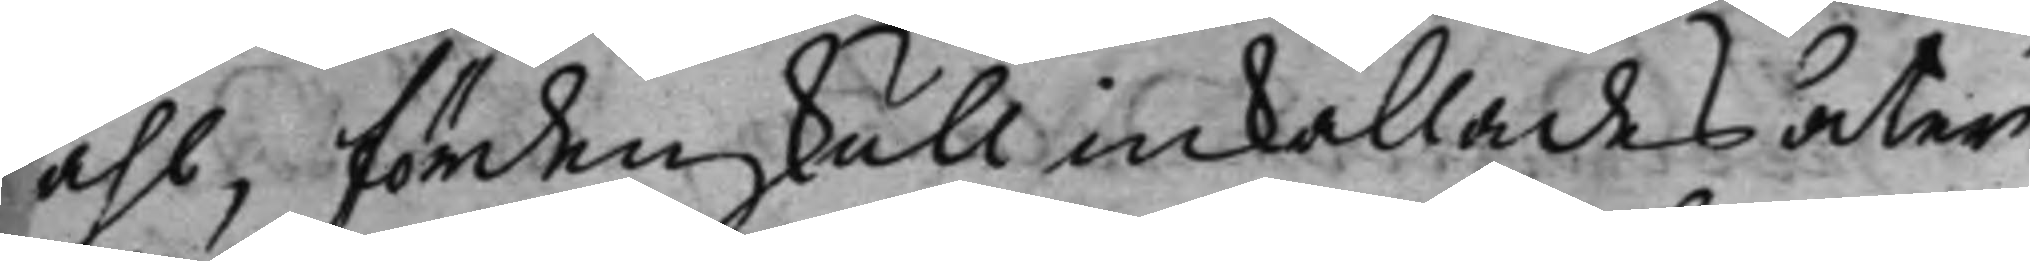åhl, fördenskull inkallades åter
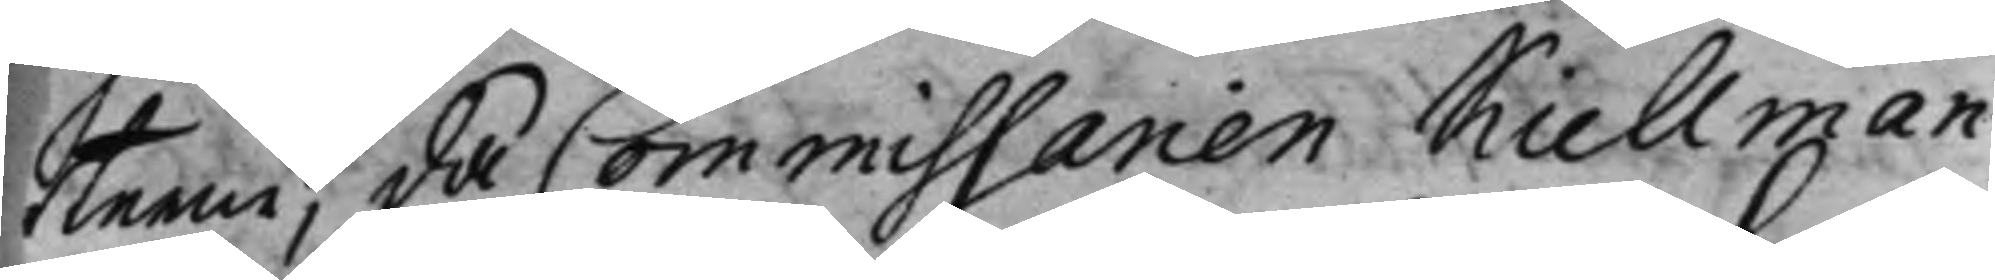rterne, då Commissarien Kiellman
